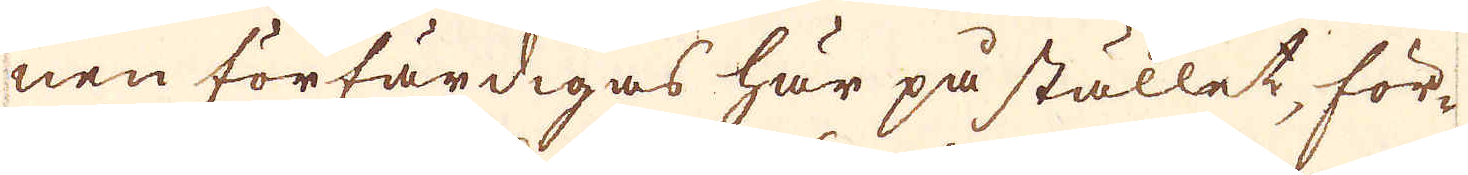nen förfärdigas här på stället, för-
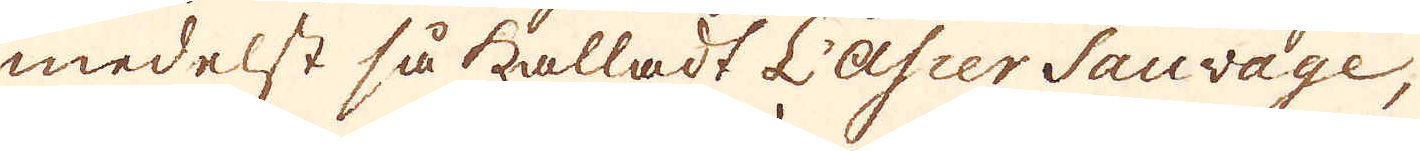medelst så kalladt L'asier Sauvage,
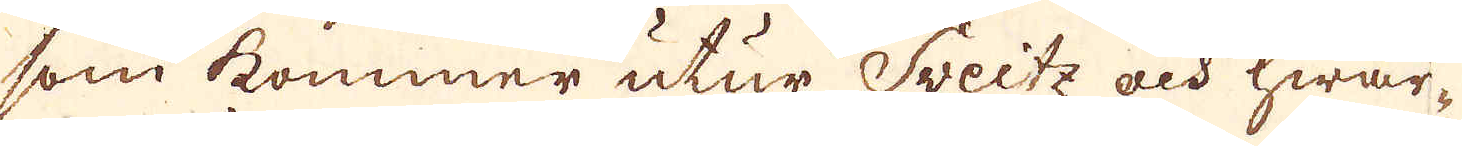som kommer utur Sveitz och hwar-
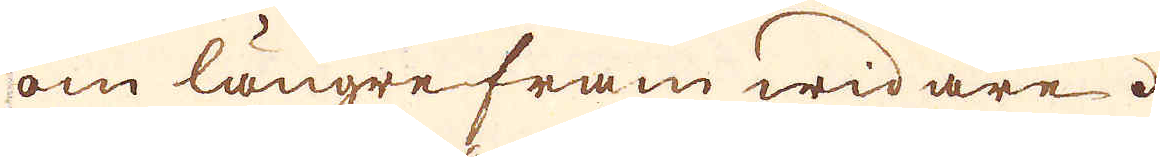om längre fram widare.
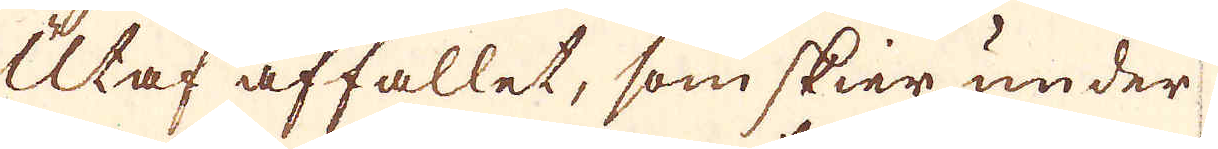Utaf affallet, som skier under
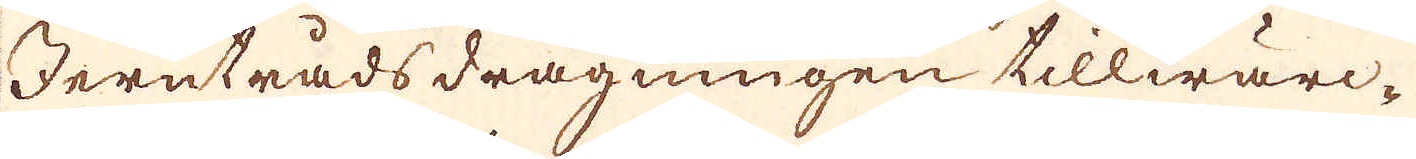Jerntrådsdragningen tillwärc-
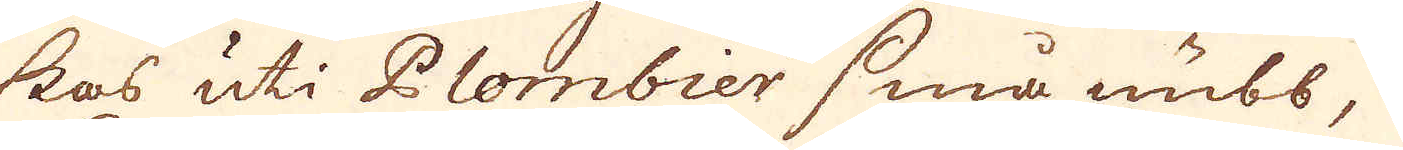kas uti Plombier små nubb,
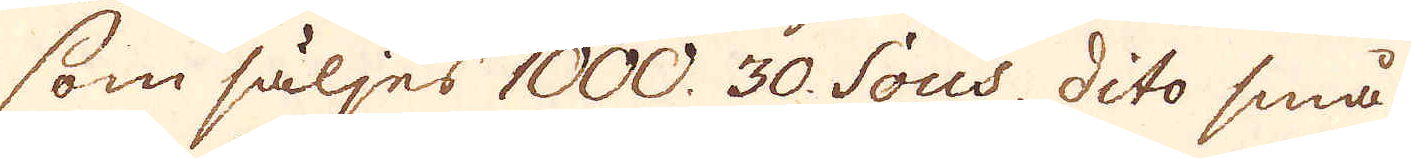som säljes 1000 30. Sous, dito små
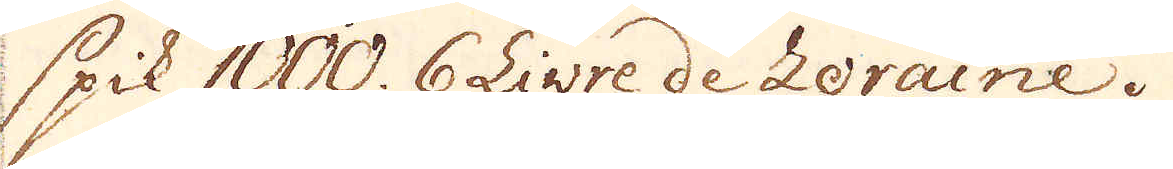spik 1000 6 Livre de Loraine.
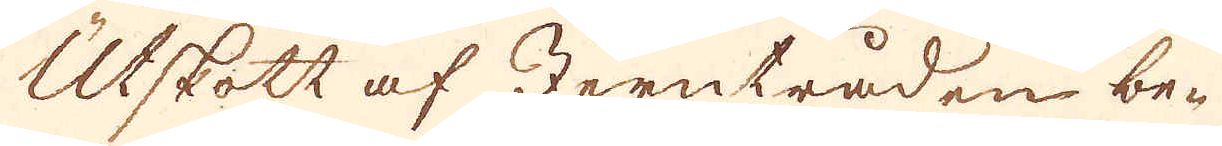Utskott af Jerntråden be-
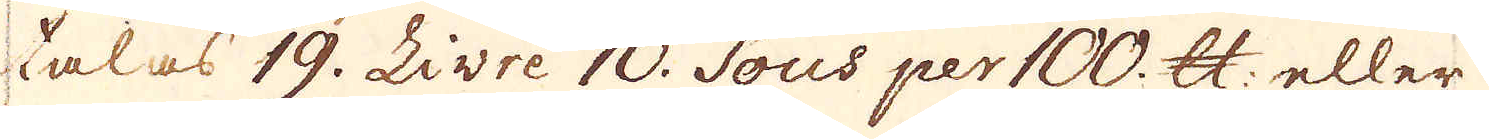talas 19. Livre 10. Sous per 100. skålpund: eller
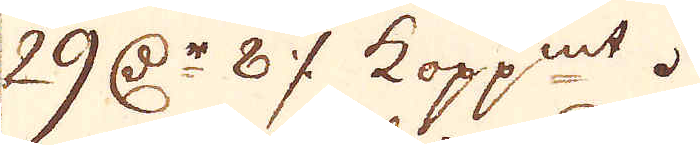29 d:r 8 öre kop:mt.
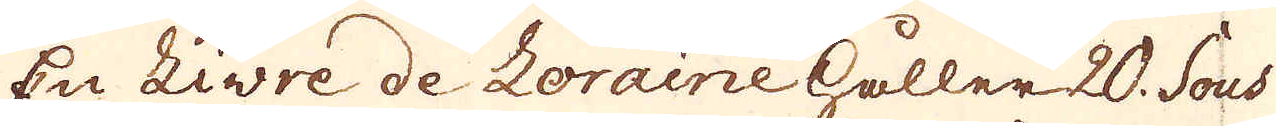En Livre de Loraine håller 20. Sous
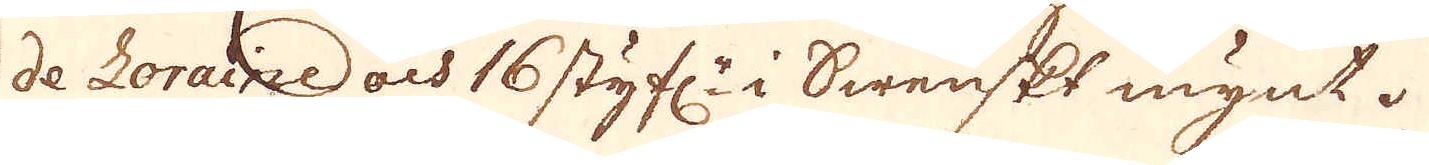de Loraine och 16 styf:r i Swenskt mynt.
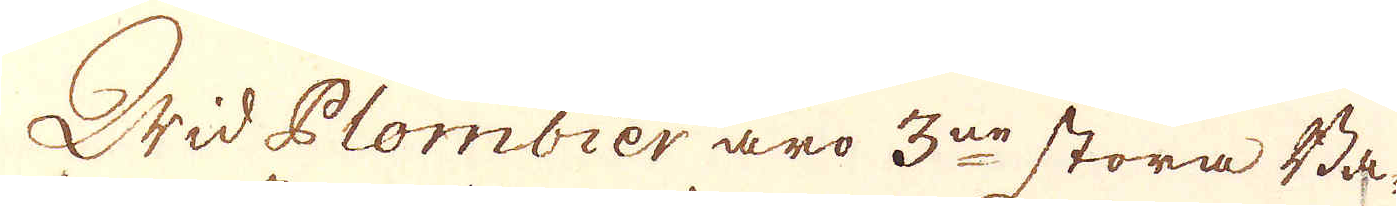Wid Plombier äro 3:ne stora Ba-
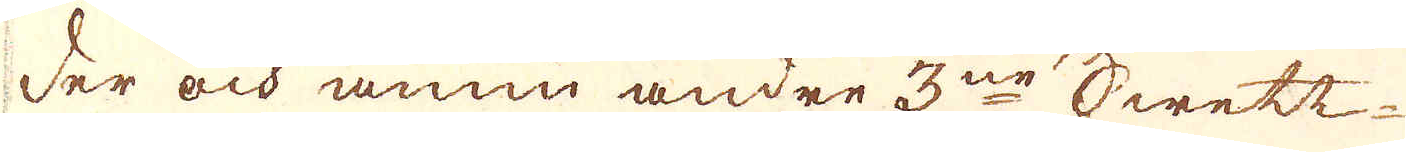der och ännu andre 3ne Swett-
